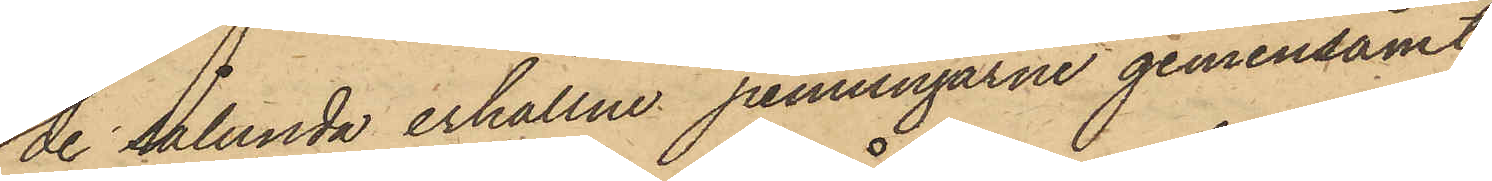de sålunda erhållne penningarne gemensamt
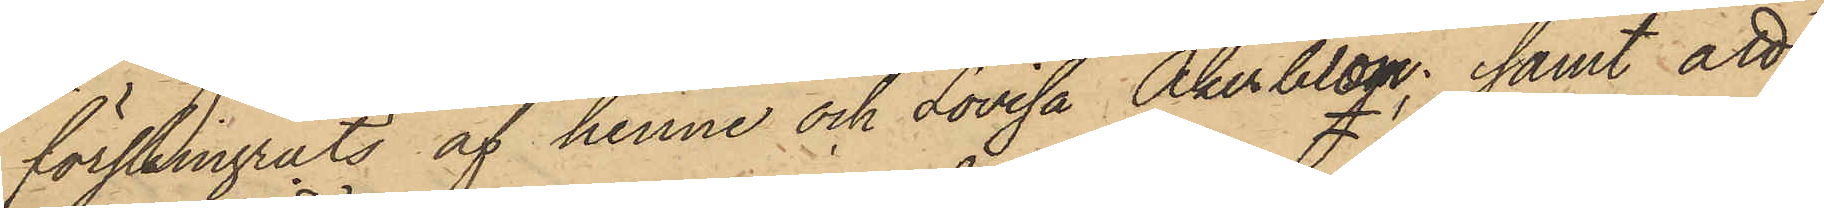förskingrats af henne och Lovisa Åkerblom; samt att
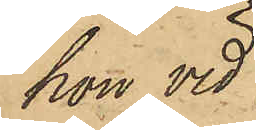hon vid
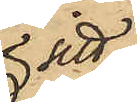 sitt
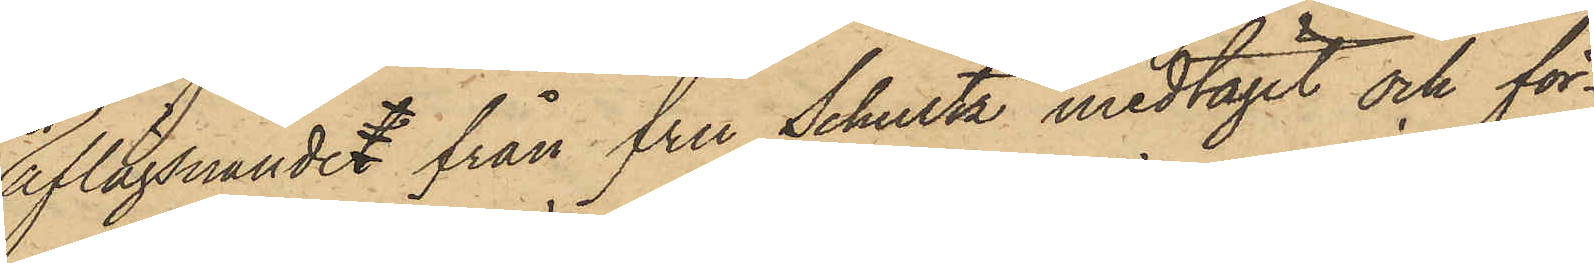aflägsnandet från fru Schultz medtagit och för¬
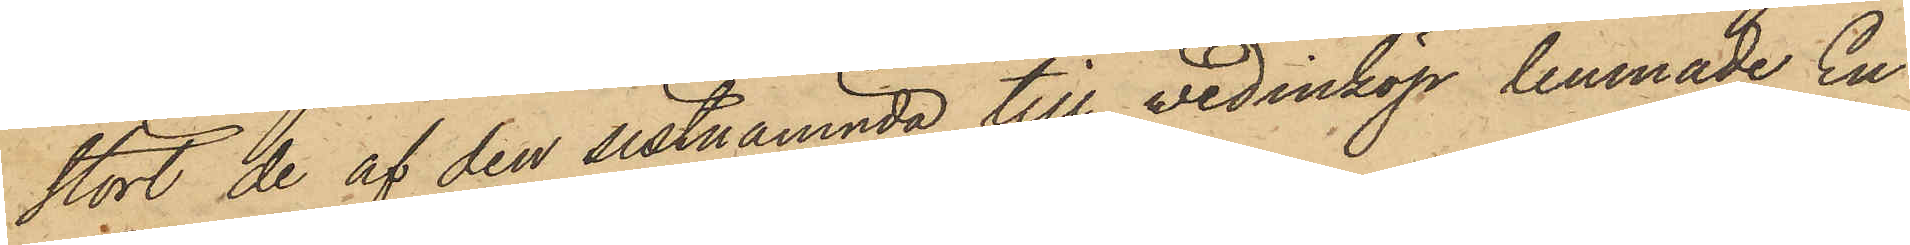stört de af den sistnämnda till vedinköp lemnade En
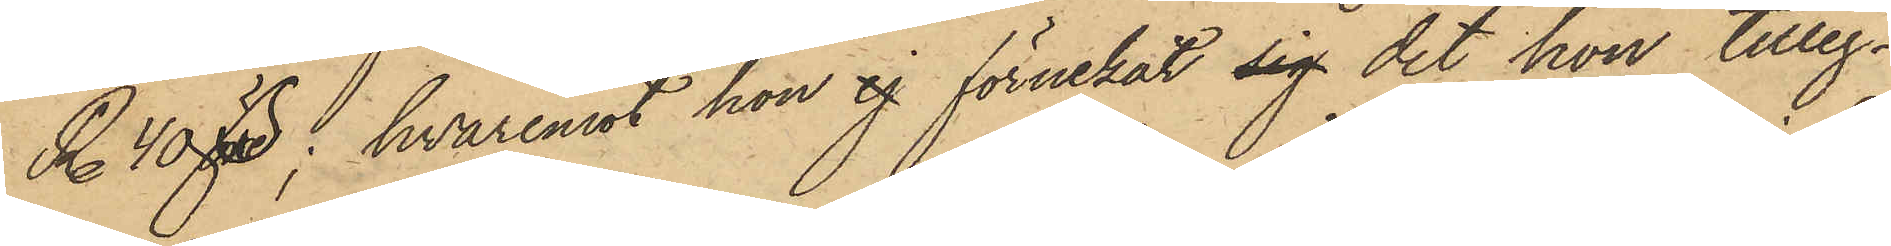R. 40 öre, hvaremot hon ej förnekat sig det hon tilleg¬
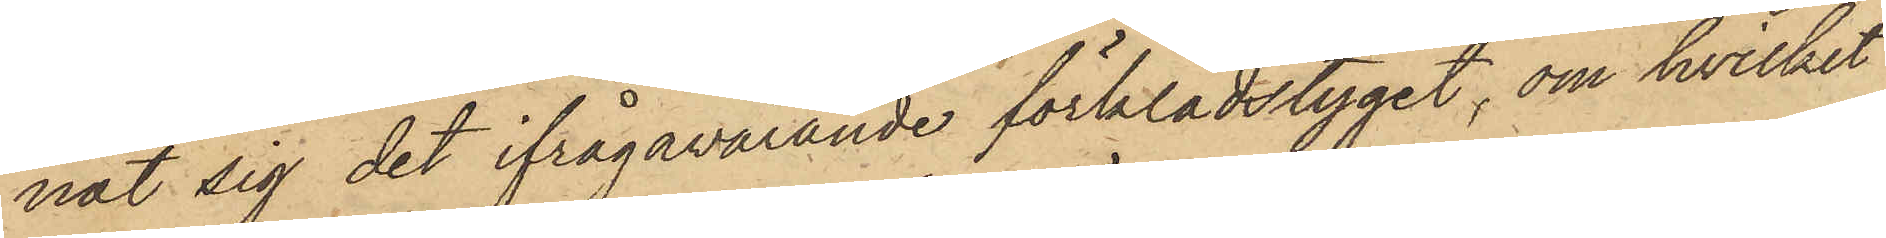nat sig det ifrågavarande förklädstyget, om hvilket
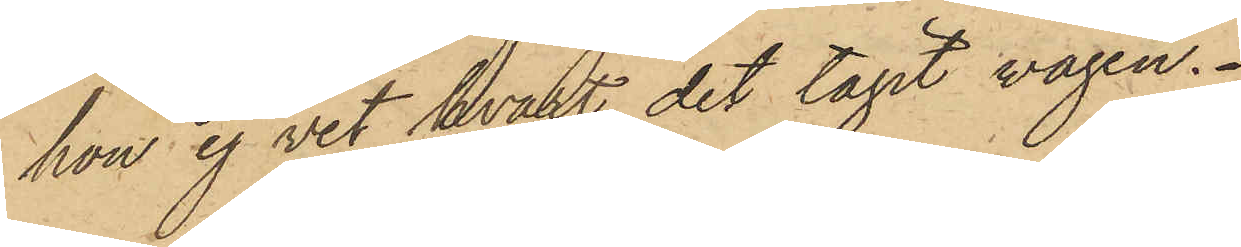hon ej vet hvart det tagit vägen.
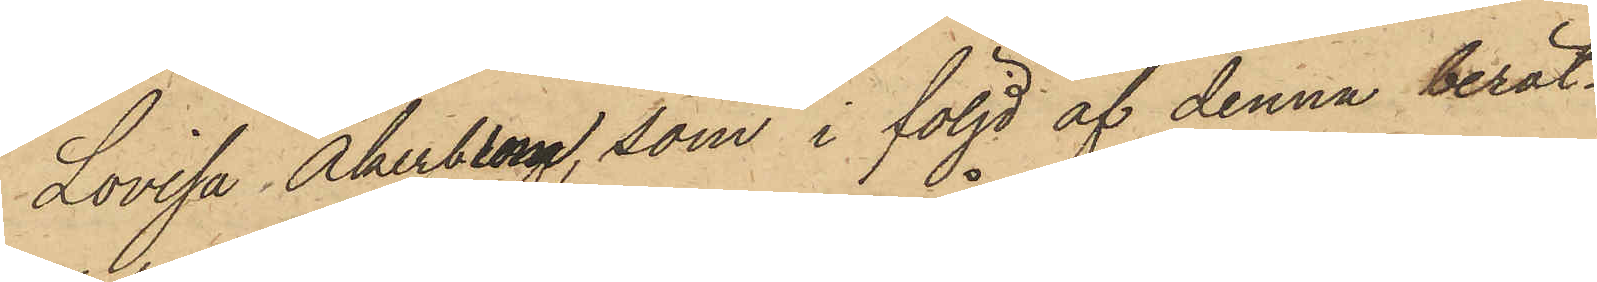Lovisa Åkerblom, som i följd af denna berät¬
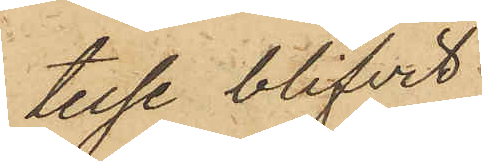telse blifvit
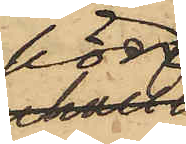hörd,
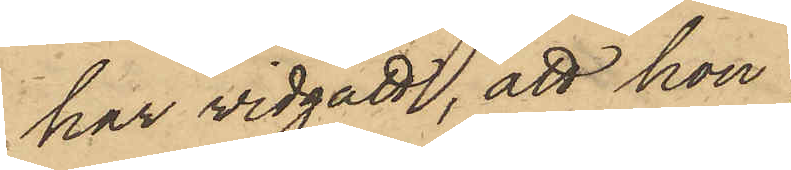har vidgått, att hon
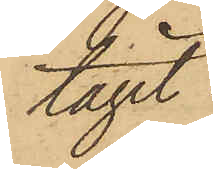tagit
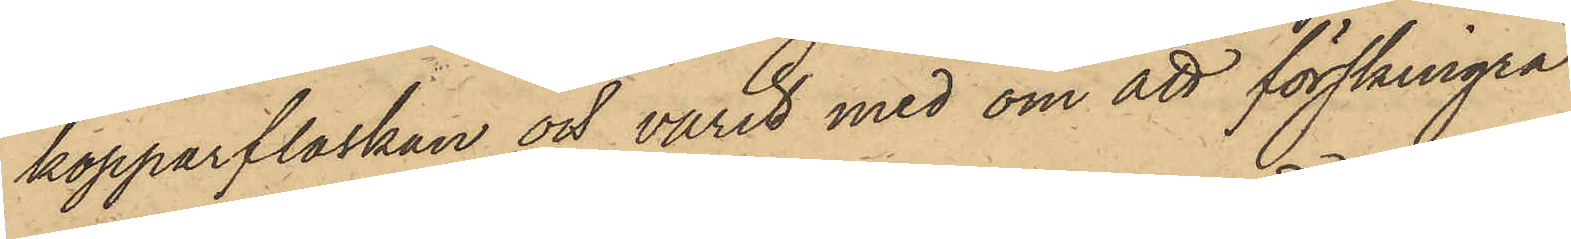kopparflaskan och varit med om att förskingra
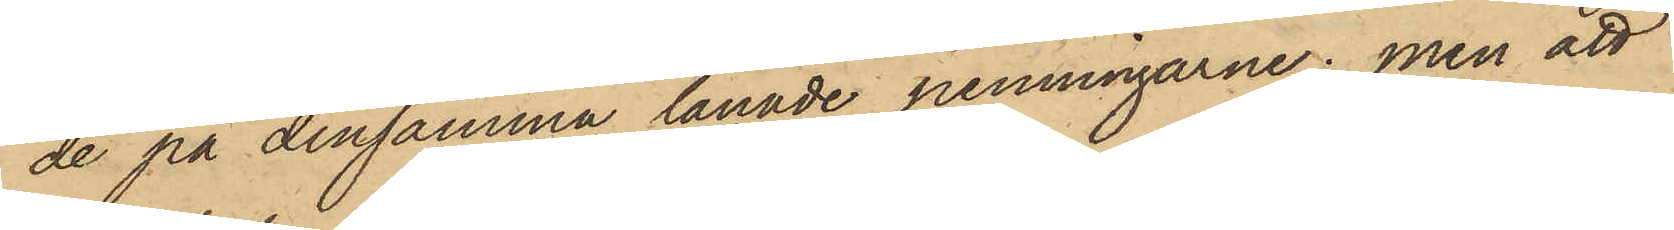de på densamma lånade penningarne; men att
